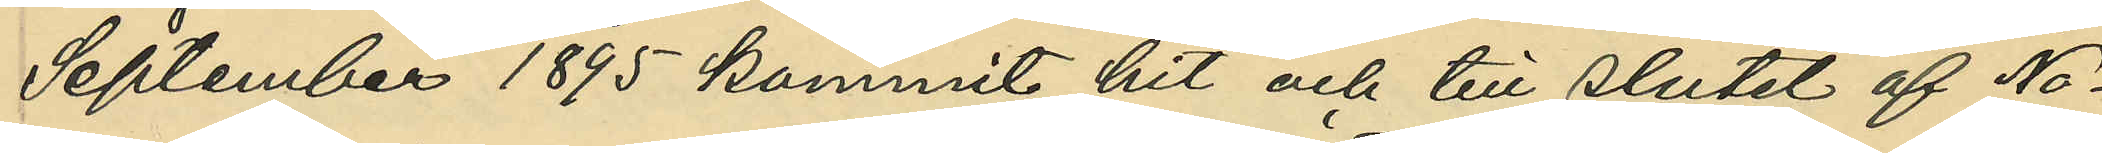September 1895 kommit hit och till slutet af No¬
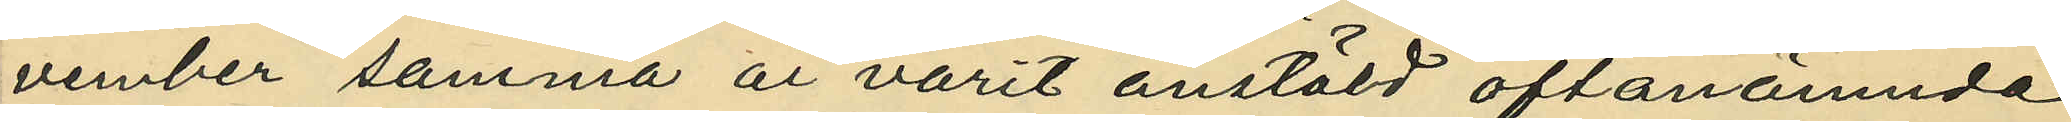vember samma år varit anstäld oftanämnda
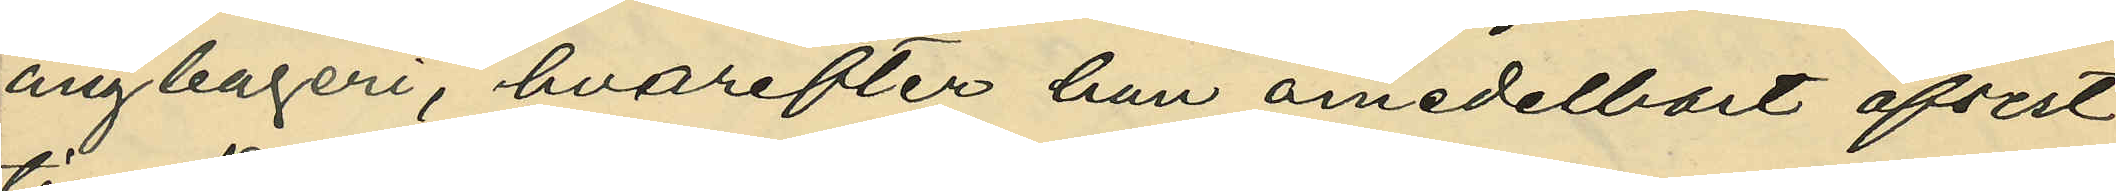ångbageri, hvarefter han omedelbart afrest
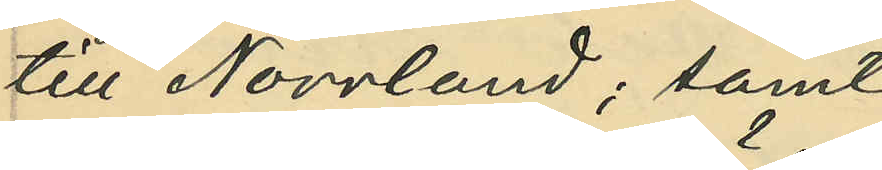till Norrland; samt
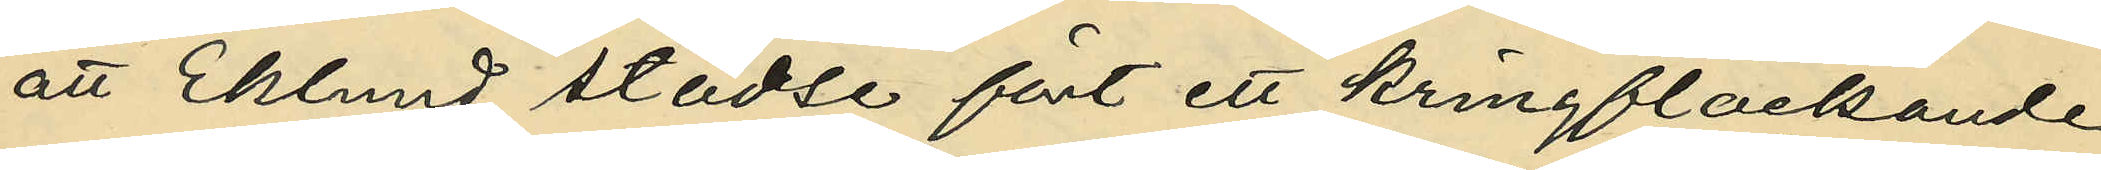att Eklund städse fört ett kringflackande
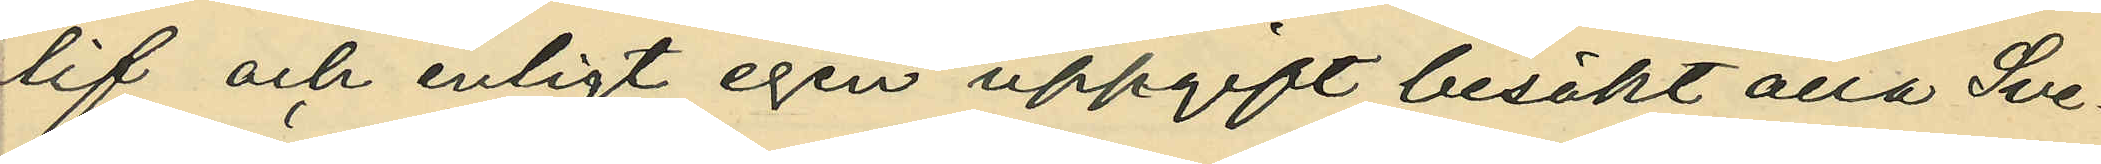lif, och enligt egen uppgift besökt alla Sve¬
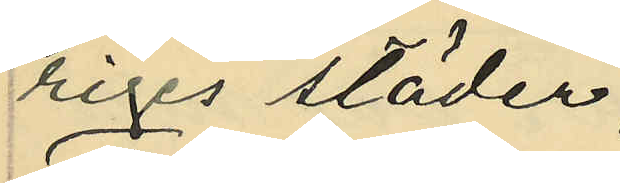riges städer;
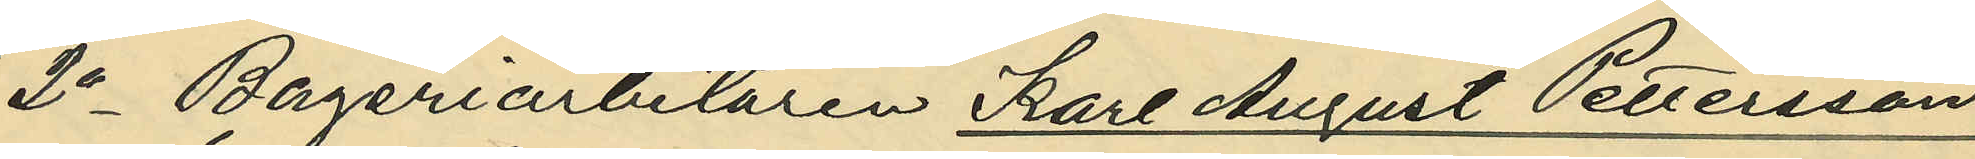2o Bageriarbetaren Karl August Pettersson,
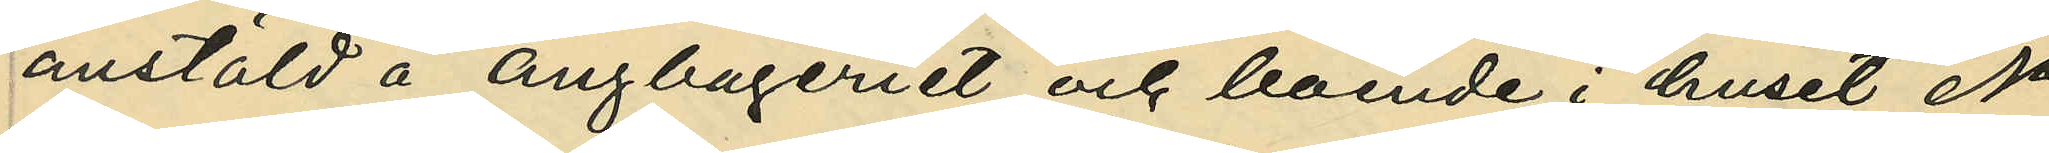anstäld å ångbageriet och boende i huset No
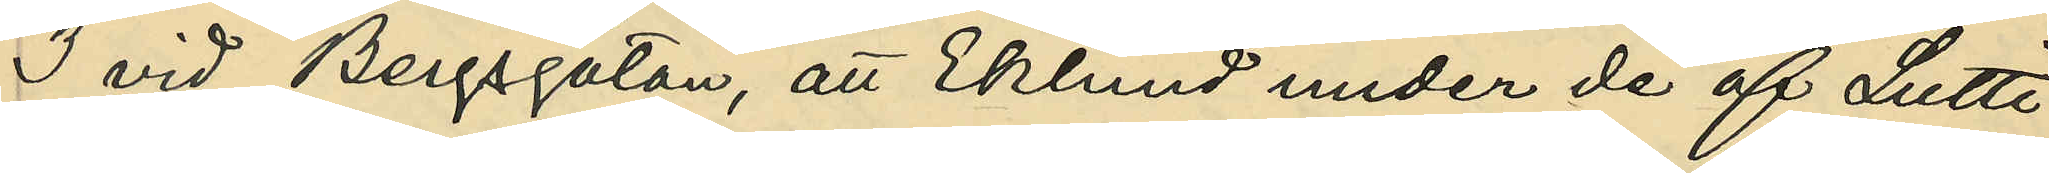3 vid Bergsgatan, att Eklund under de af Lutti
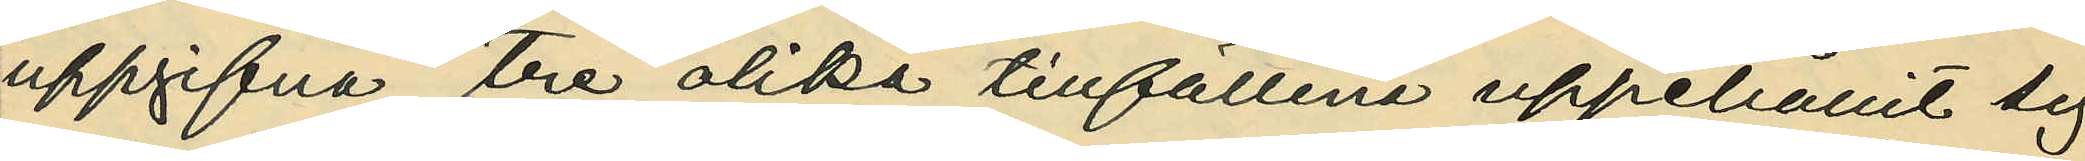uppgifna tre olika tillfällena uppehållit sig
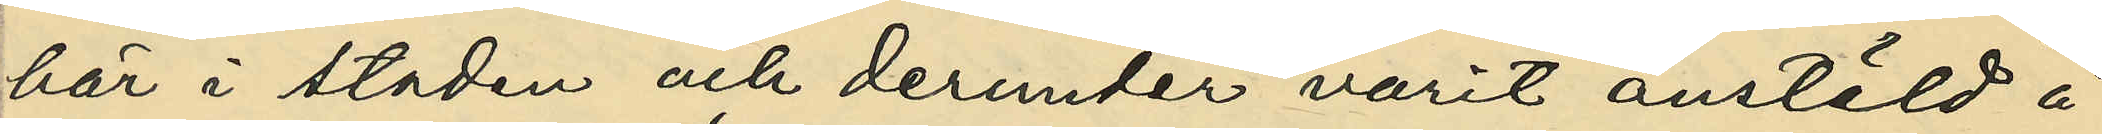här i staden och derunder varit anstäld å
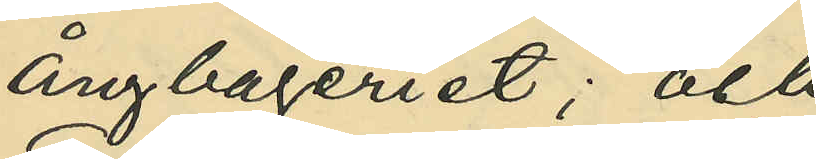ångbageriet; och
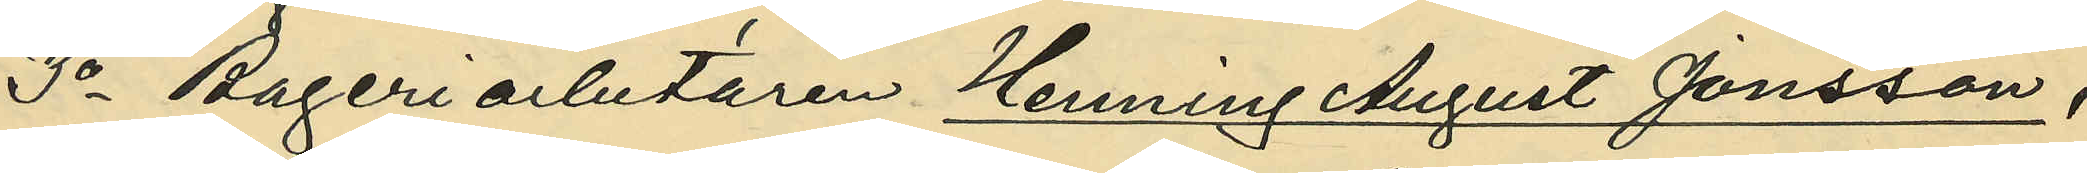3o Bageriarbetaren Henning August Jonsson,
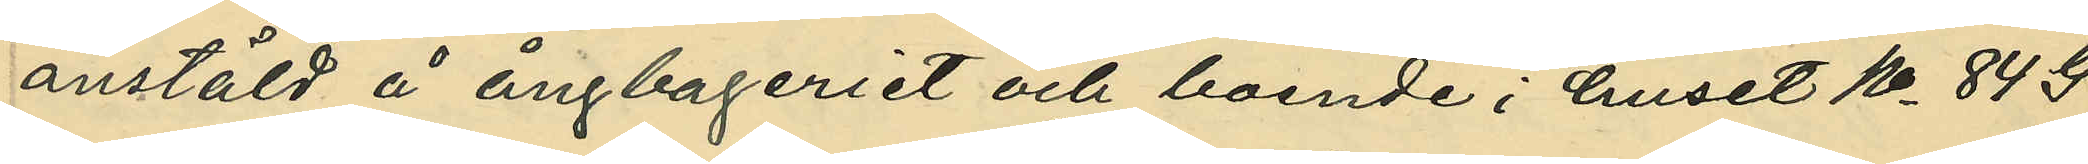anstäld å ångbageriet och boende i huset No 84 G.
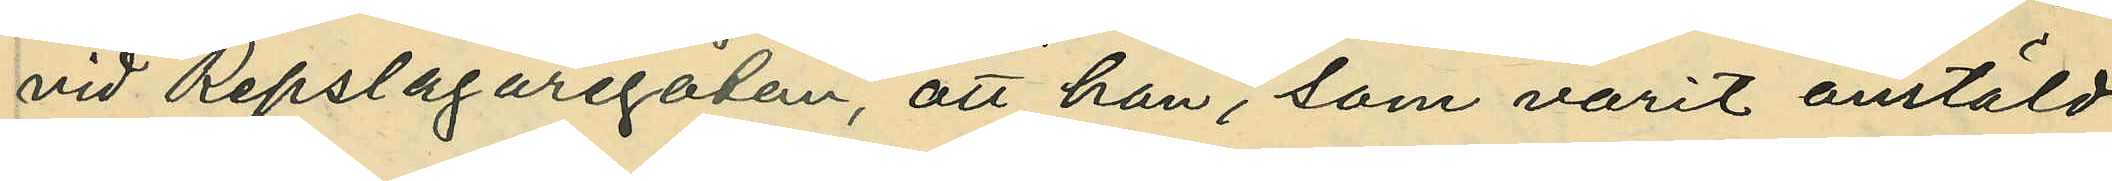vid Repslagaregatan, att han, som varit anstäld
